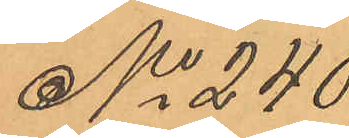No 240
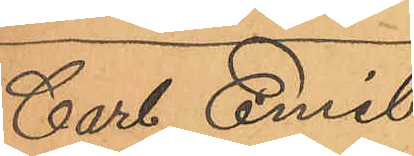Carl Emil
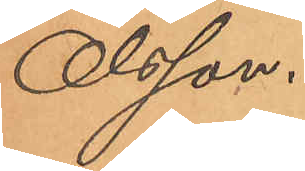Olsson.
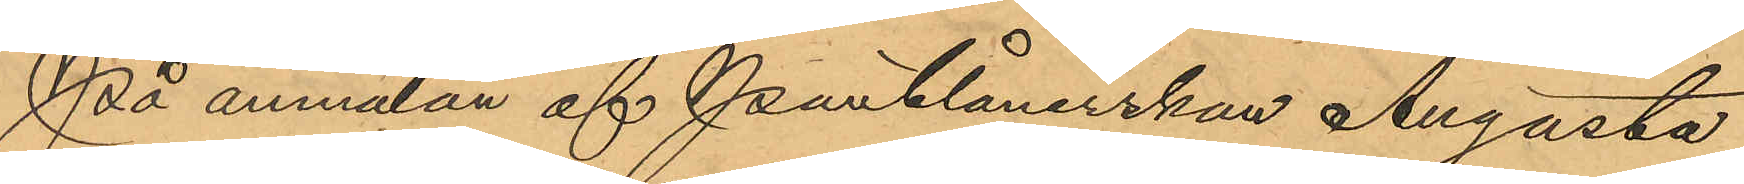På anmälan af Pantlånerskan Augusta
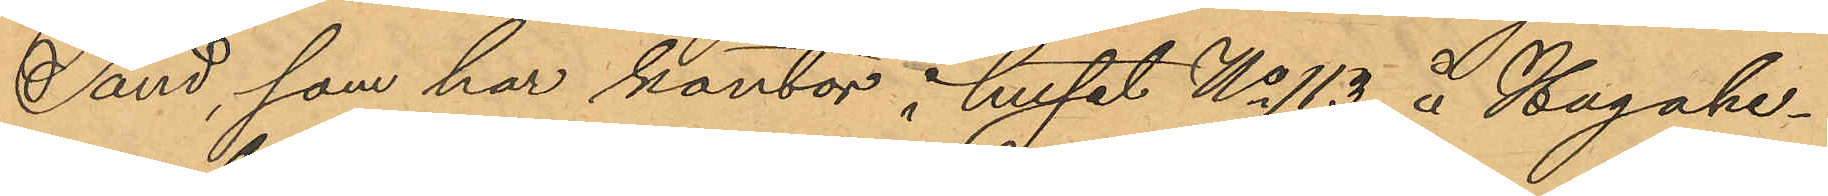Sand, som har kontor i huset No 113 å Hagahe¬
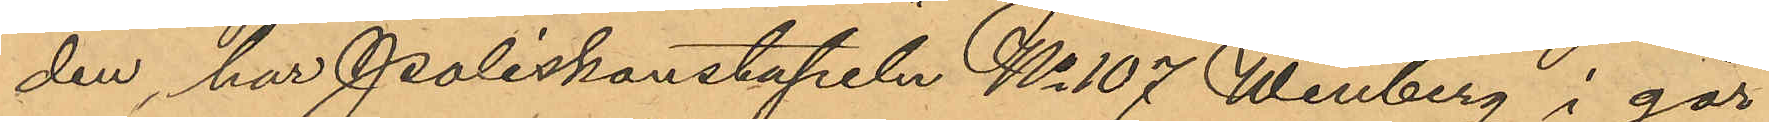den, har Poliskonstapeln No 107 Winberg i går
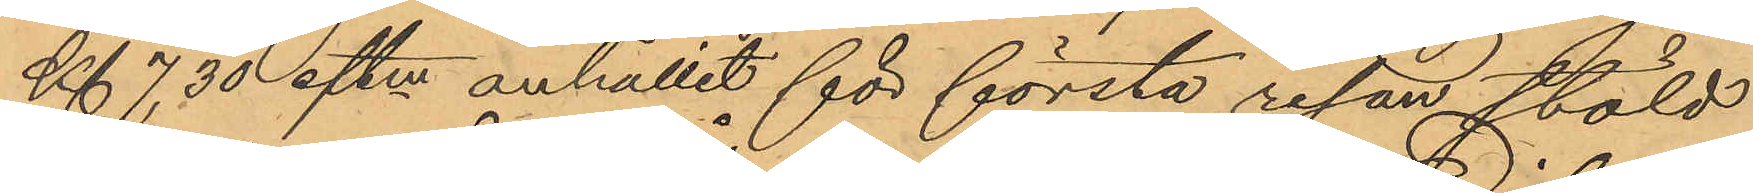Kl 7,30 eftm anhållit för första resan stöld
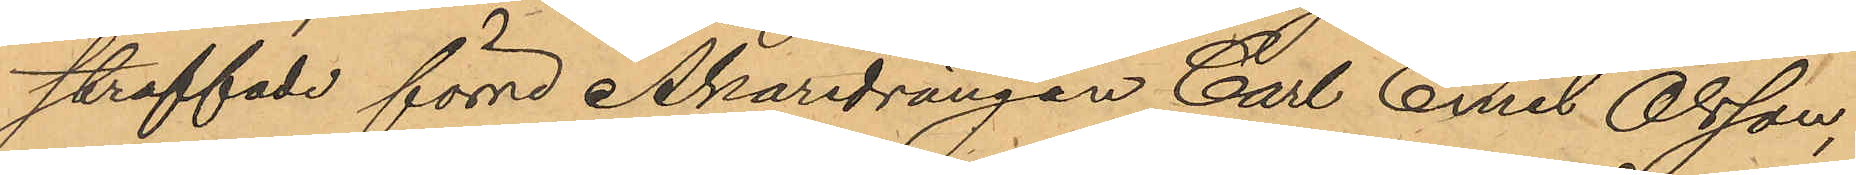straffade förre Åkaredrängen Carl Emil Olsson,
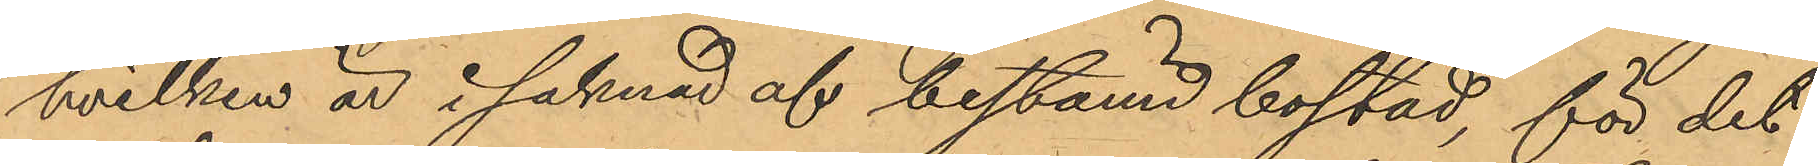hvilken är i saknad af bestämd bostad, för det
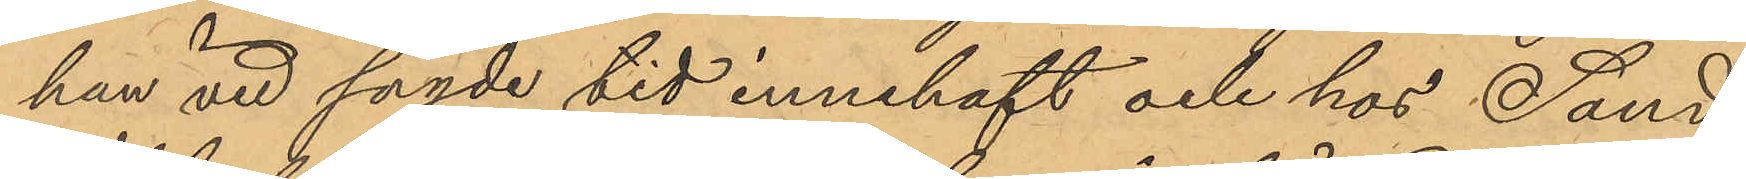han vid sagde tid innehaft och hos Sand
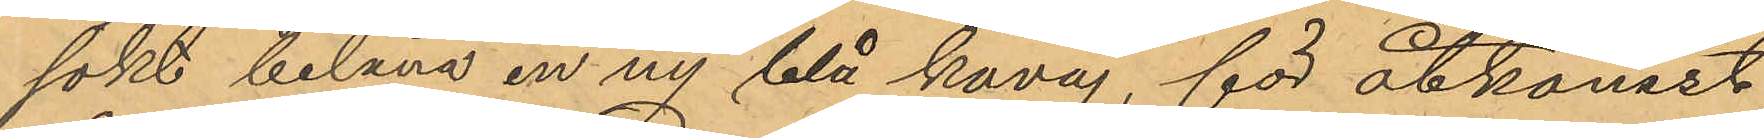sökt belåna en ny blå kavaj, för åtkomst
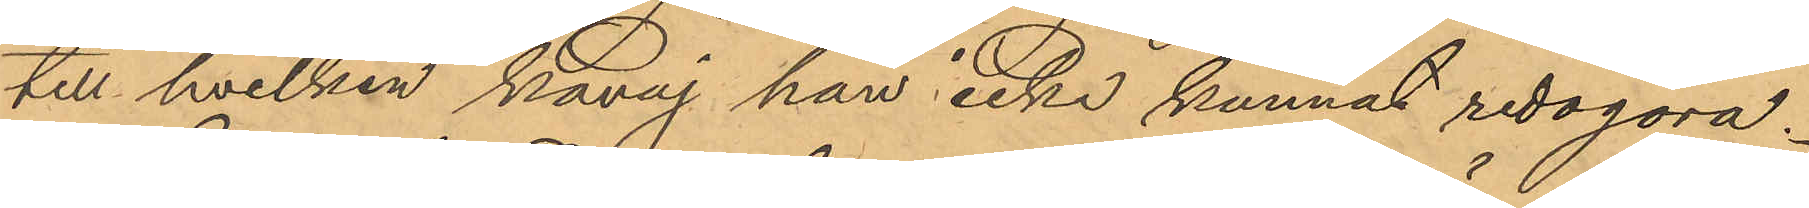till hvilken kavaj han icke kunnat redogöra.
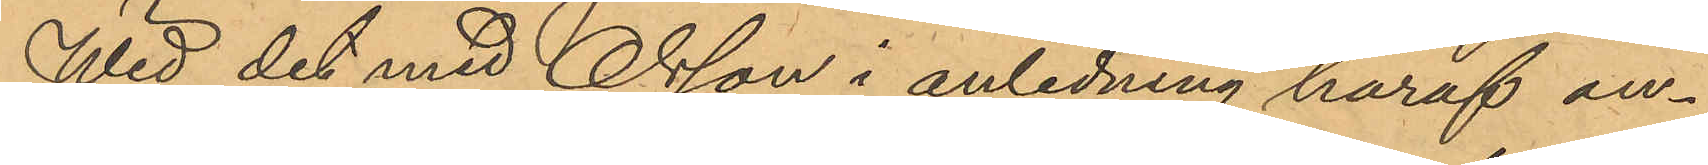Wid det med Olsson i anledning häraf an¬
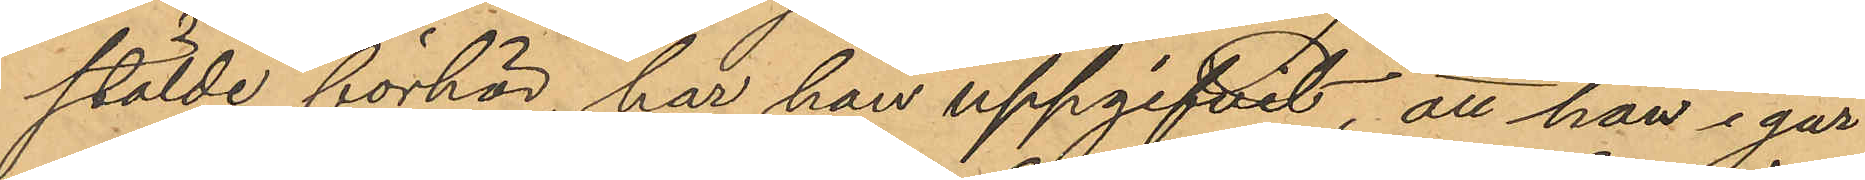stälde förhör, har han uppgifvit, att han i går
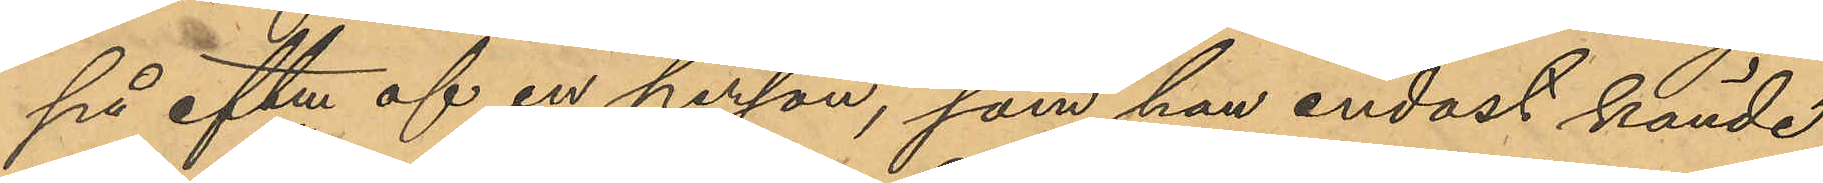på eftm af en person, som han endast kände
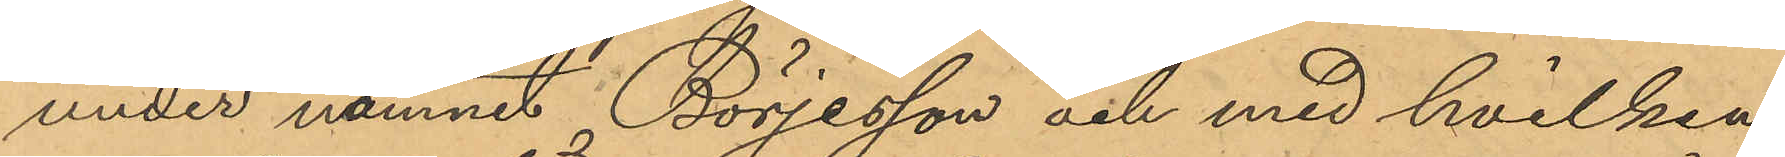under namnet Börjesson och med hvilken
